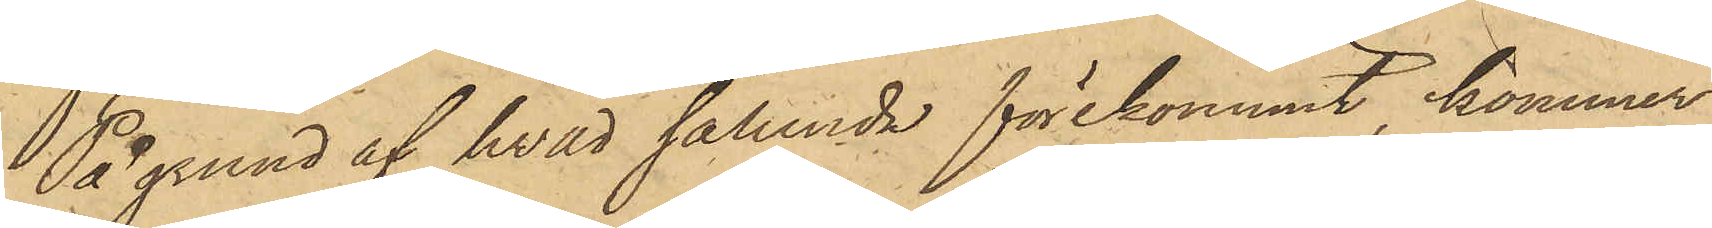På grund af hvad sålunda förekommit, kommer
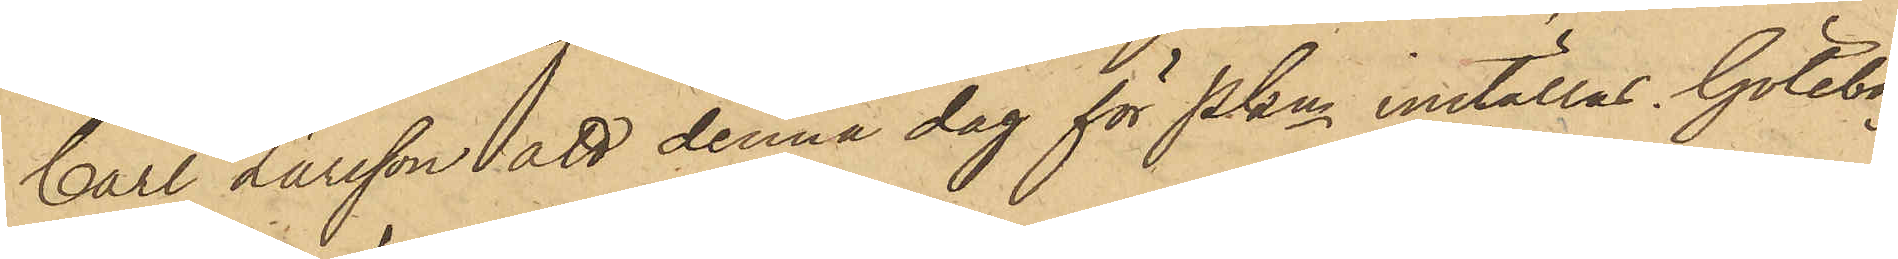Carl Larsson att denna dag för Pkn inställas. Göteborg
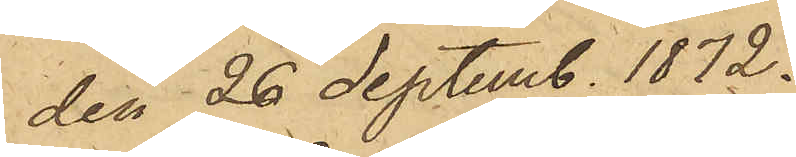den 26 Septemb. 1872.
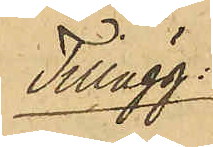Tillägg.
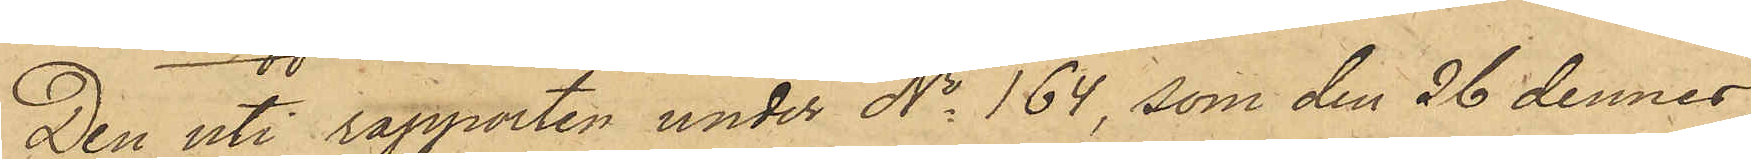Den uti rapporten under No 164, som den 26 dennes
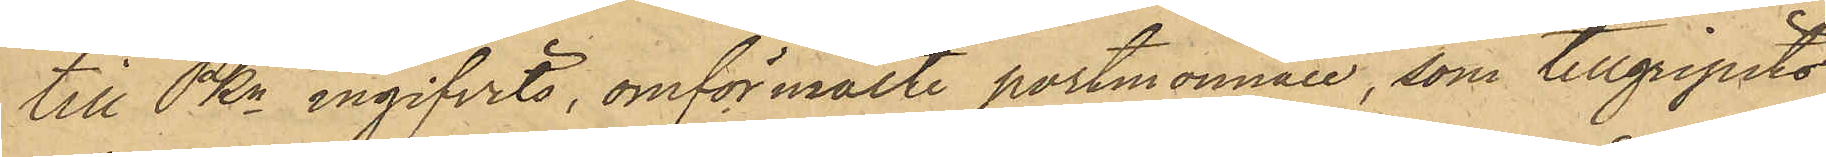till PKn ingifvits, omförmälte portmonnaie, som tillgripits
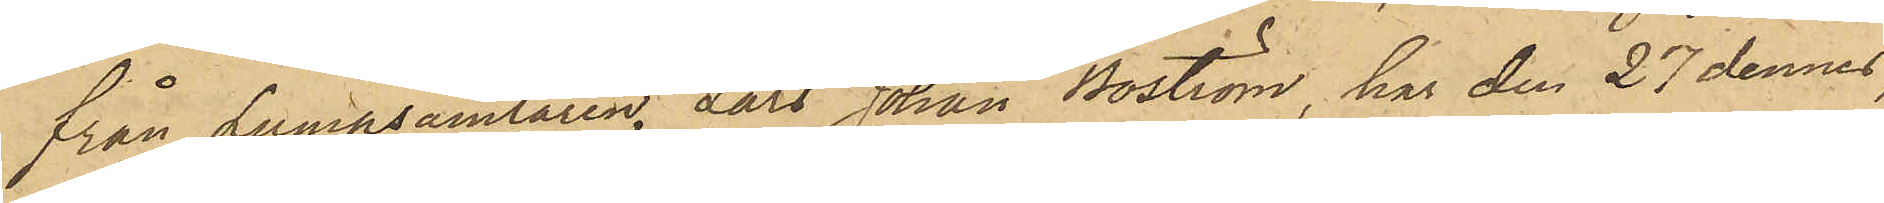från Lumpsamlaren, Lars Johan Boström, har den 27 dennes,
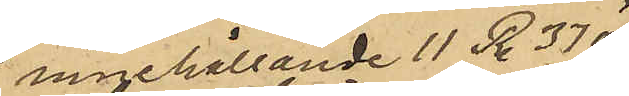innehållande 11 R. 37 öre
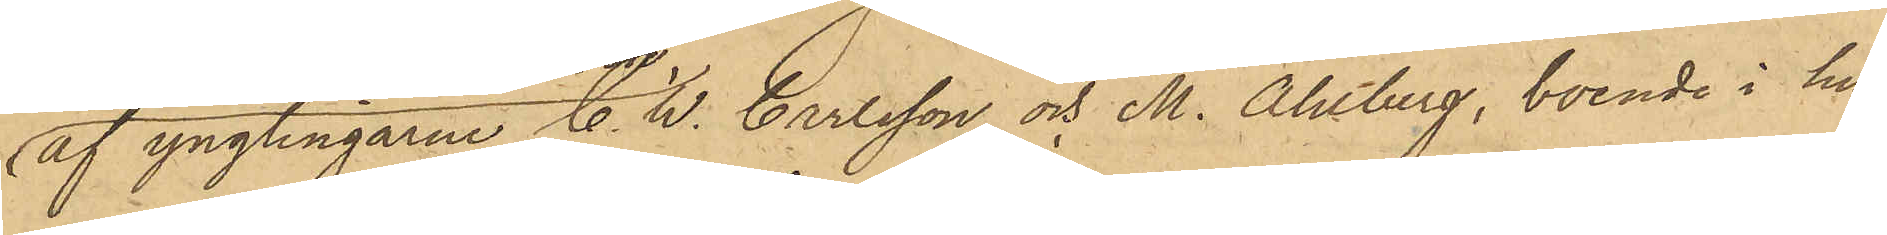af ynglingarne C. W. Carlsson och M. Ahlberg, boende i hu¬
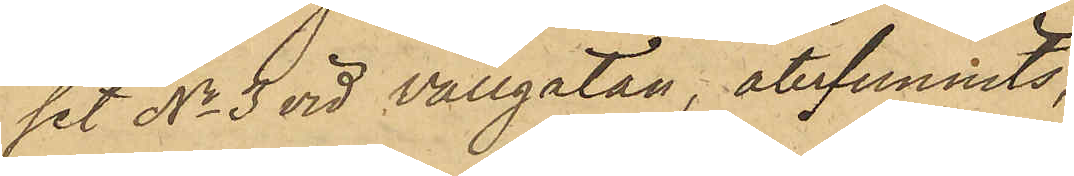set No 3 vid Vallgatan, återfunnits,
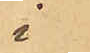i
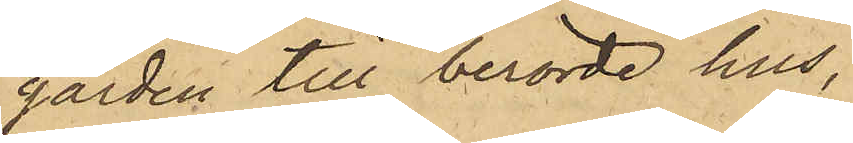gården till berörde hus,
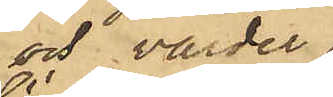och varder
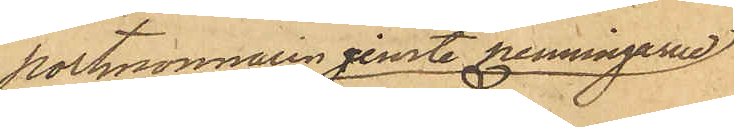portmonnaien jemte penningarne
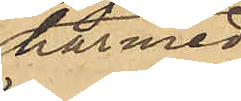härmed
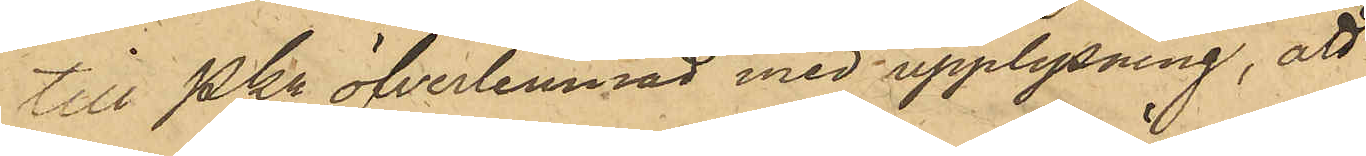till Pkn öfverlemnad med upplysning, att
